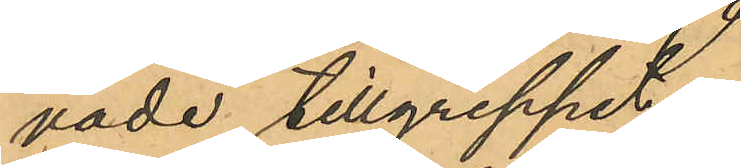vade tillgreppet.
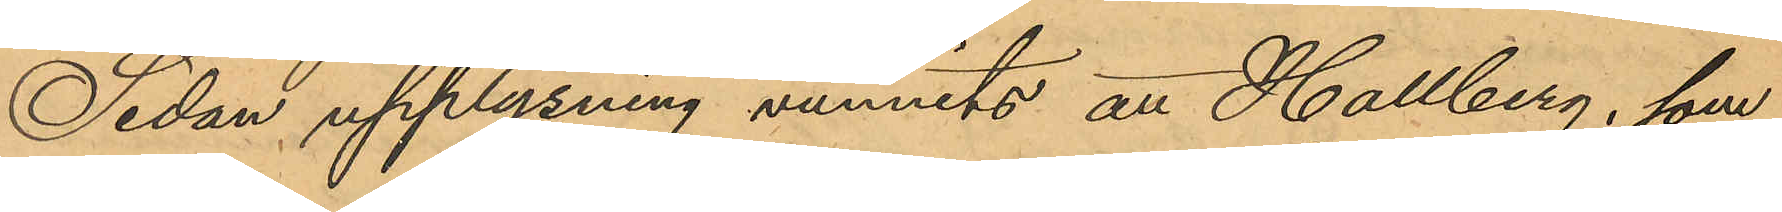Sedan upplysning vunnits att Hallberg, som
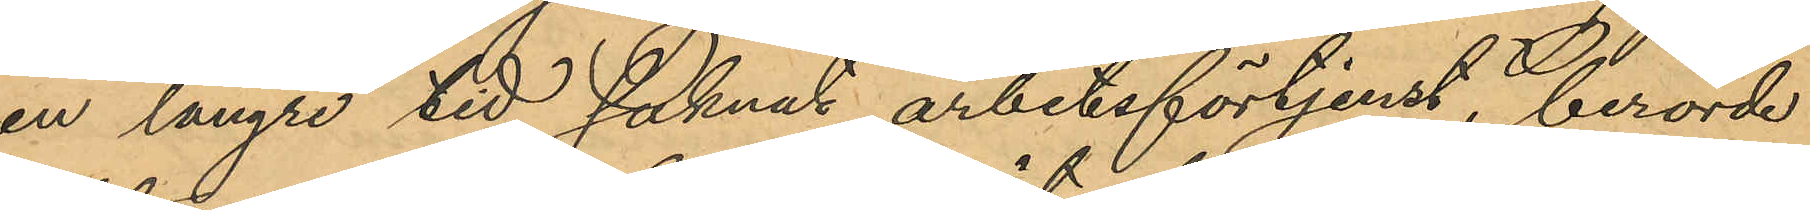en längre tid saknat arbetsförtjenst, berörde
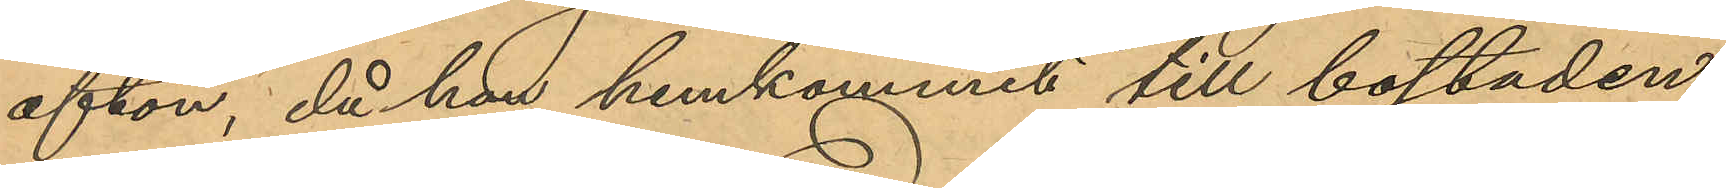afton, då han hemkommit till bostaden,
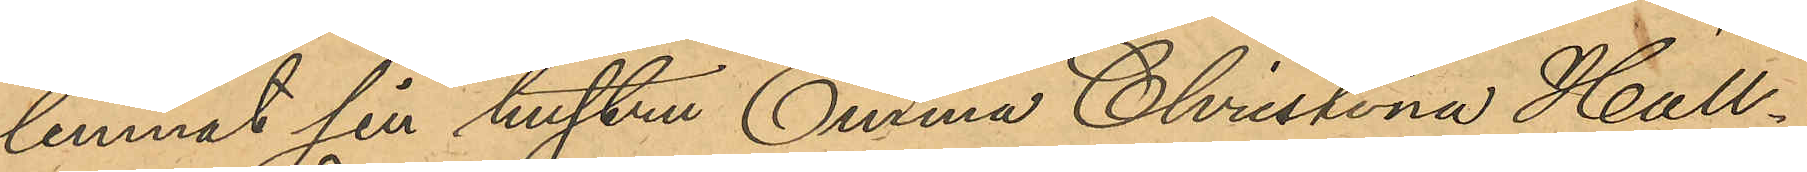lemnat sin hustru Emma Christina Hall¬
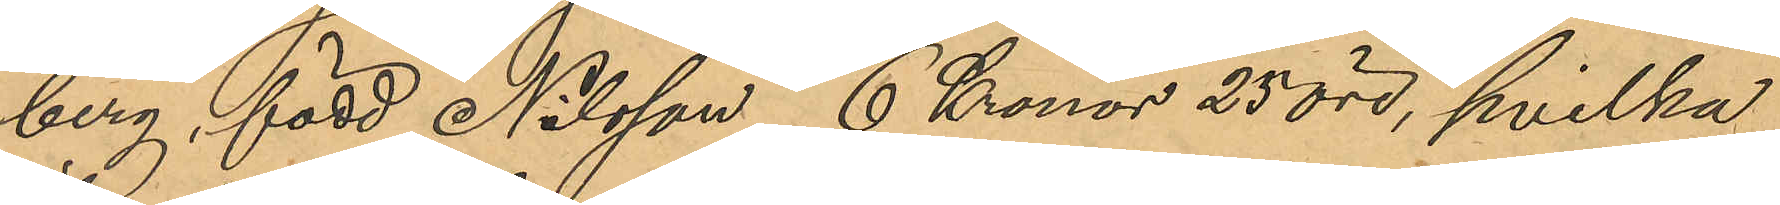berg, född Nilsson, 6 Kronor 25 öre, hvilka
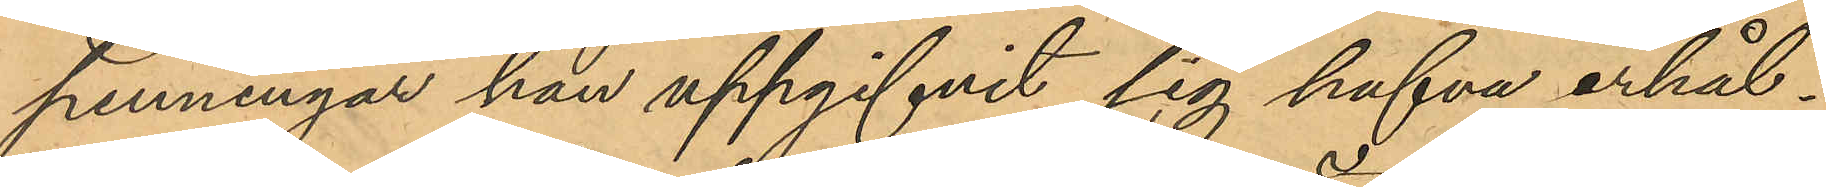penningar han uppgifvit sig hafva erhål¬
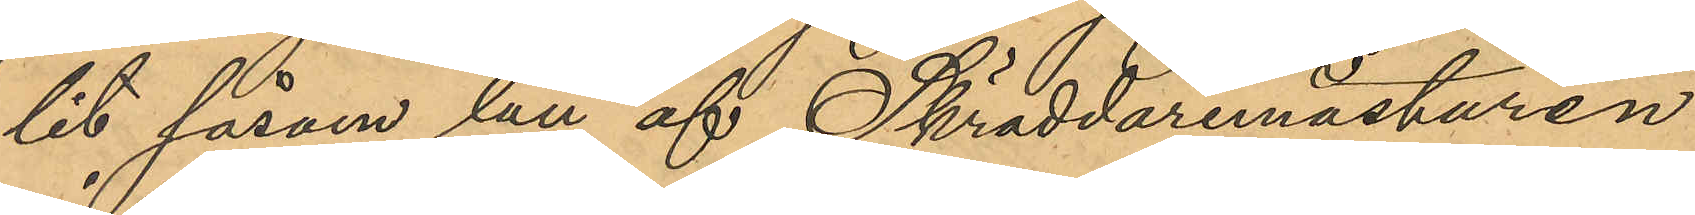lit såsom lån af Skräddaremästaren
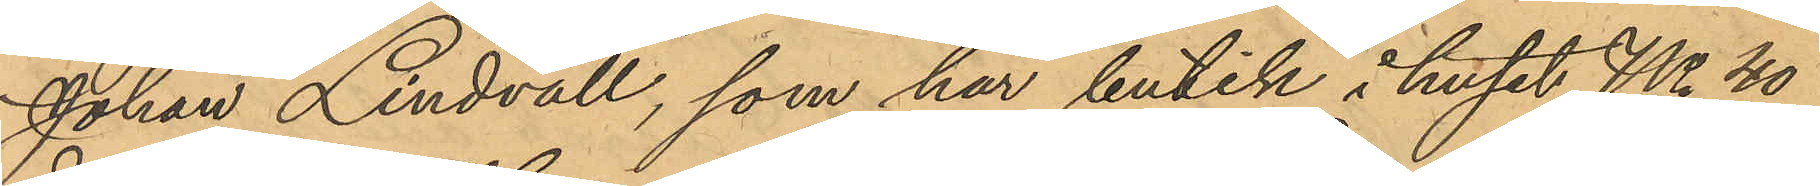Johan Lindvall, som har butik i huset No 40
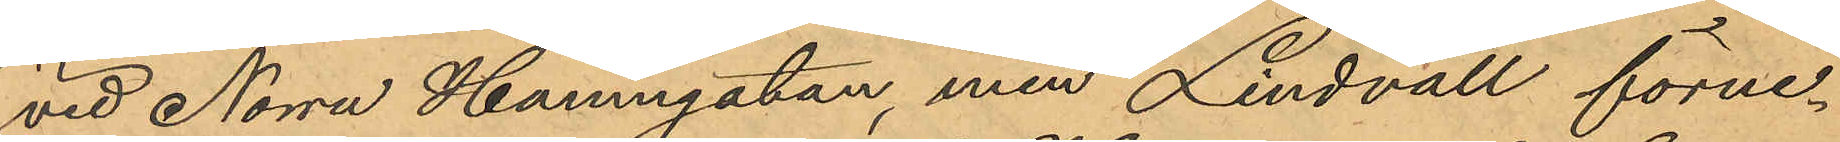vid Norra Hamngatan, men Lindvall förne¬
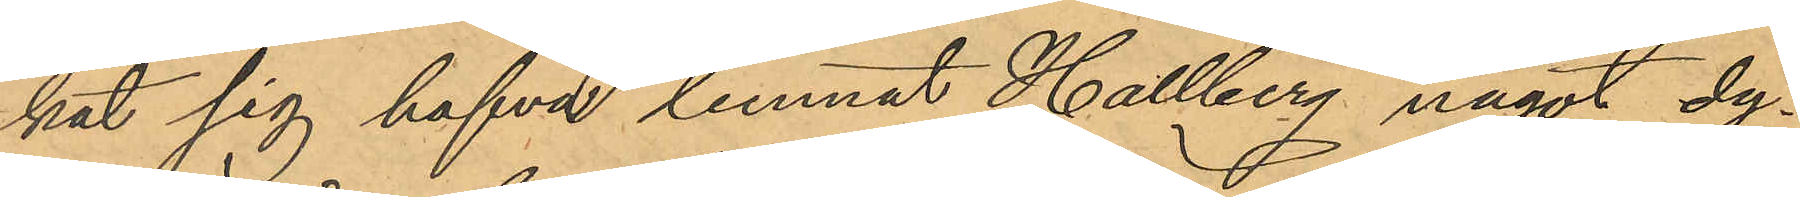kat sig hafva lemnat Hallberg något dy¬
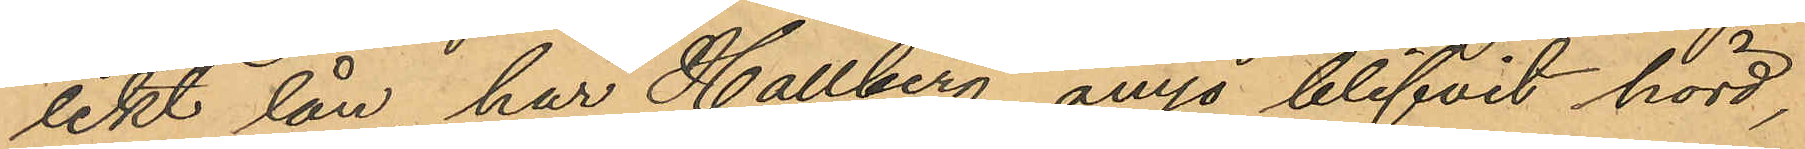likt lån, har Hallberg ånyo blifvit hörd,
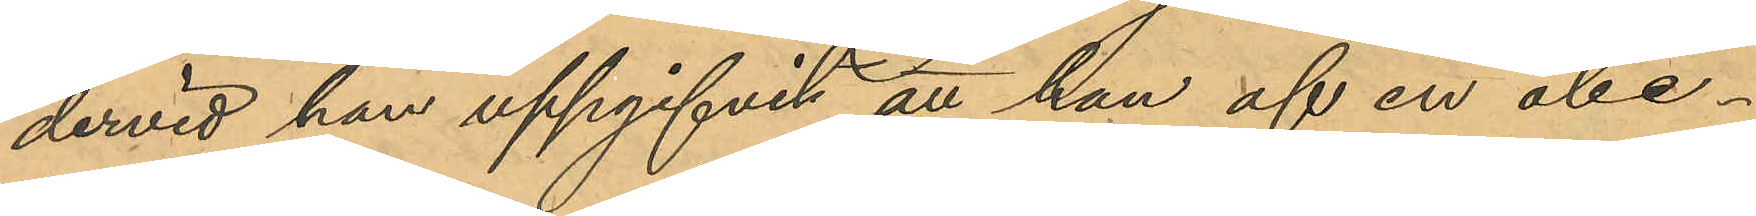dervid han uppgifvit att han af en obe¬
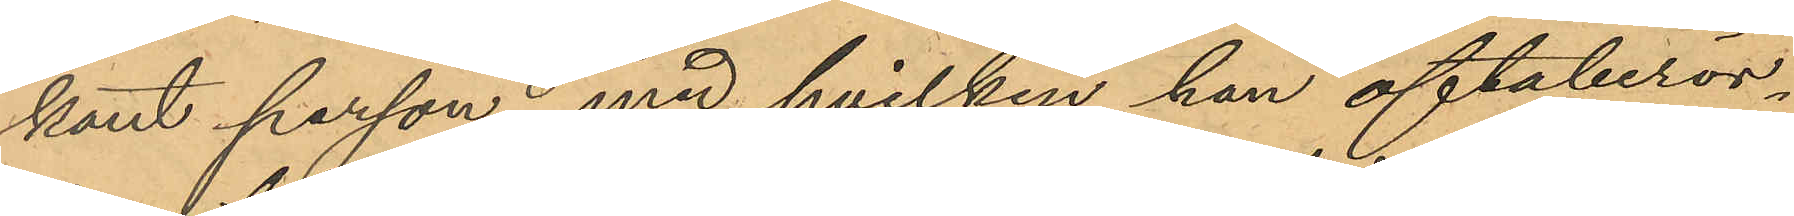kant person, med hvilken han oftaberör¬
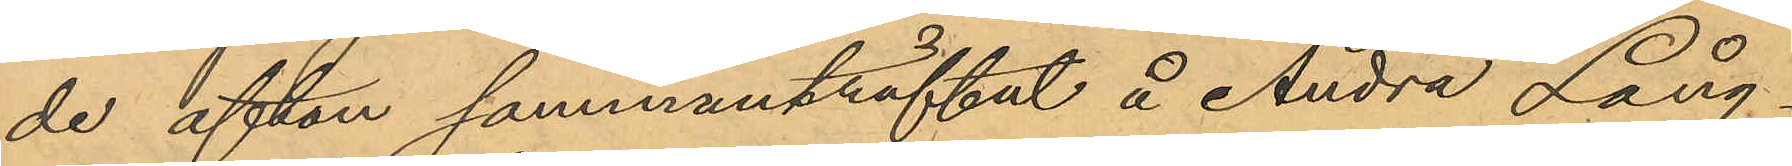de afton sammanträffat å Andra Lång¬
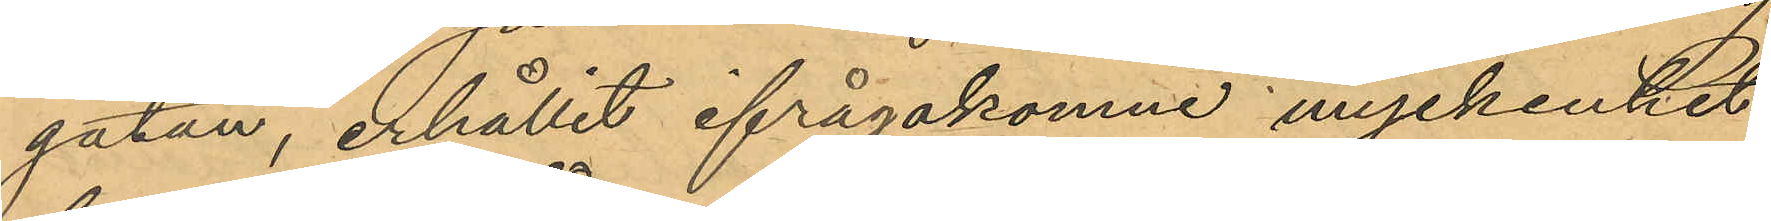gatan, erhållit ifrågakomne myckenhet
